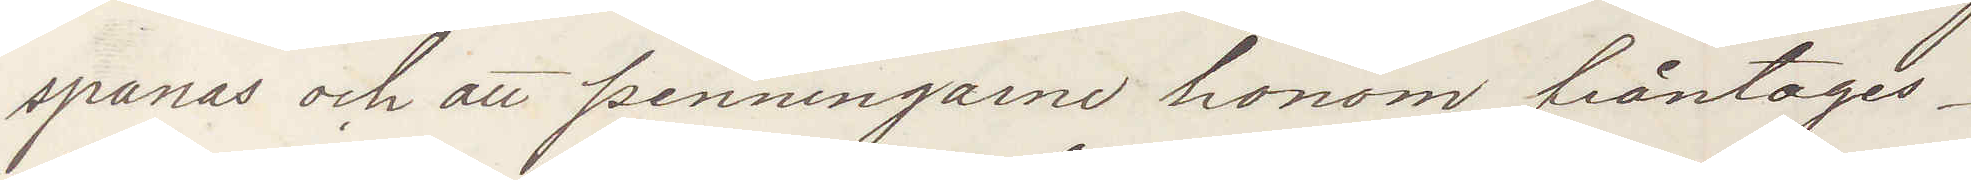spanas och att penningarne honom fråntages.
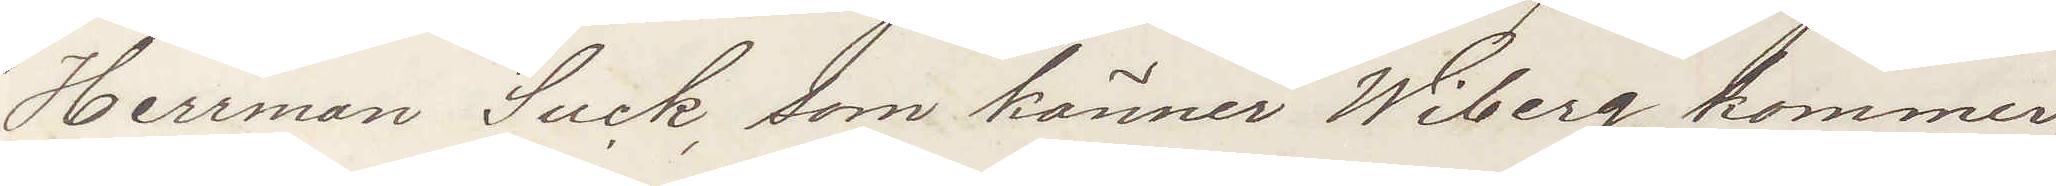Herrman Suck, som känner Wiberg, kommer
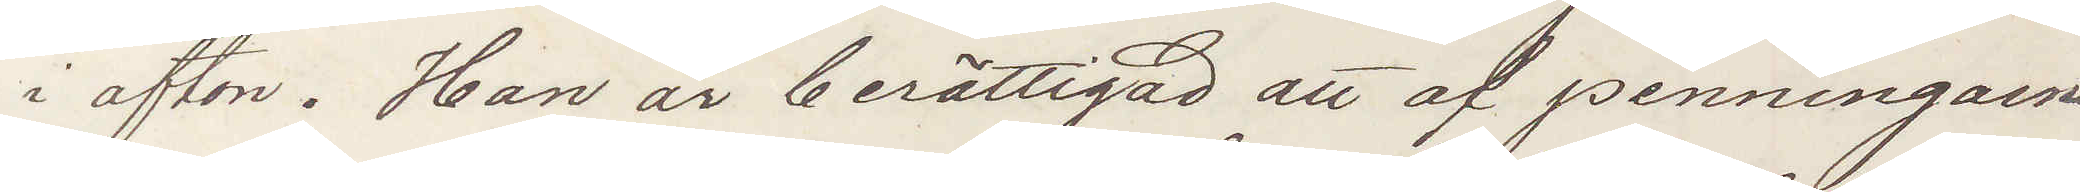i afton. Han är berättigad att af penningarne
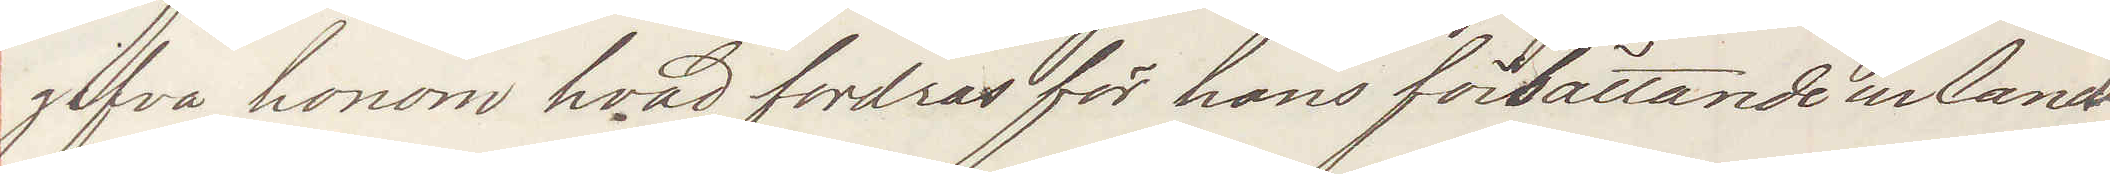gifva honom hvad fordras för hans förbättrande ur landet
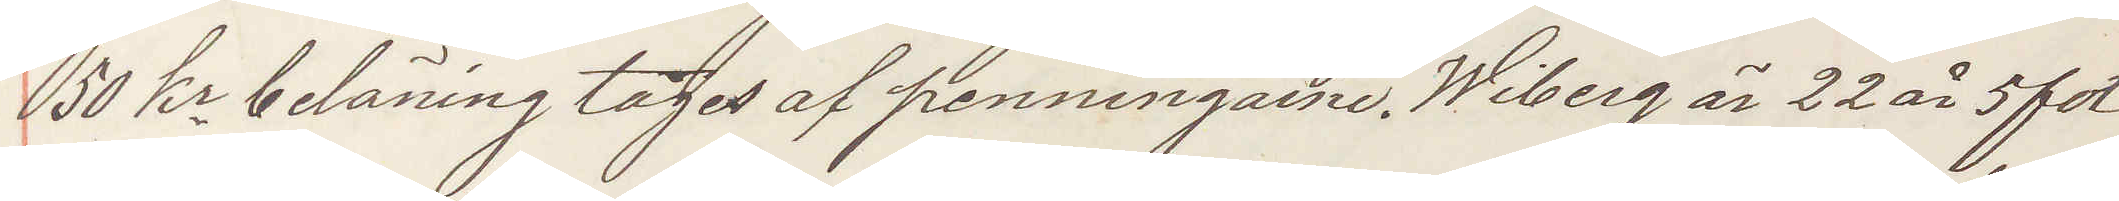50 kr belöning tages af penningarne. Wiberg är 22 år 5 fot
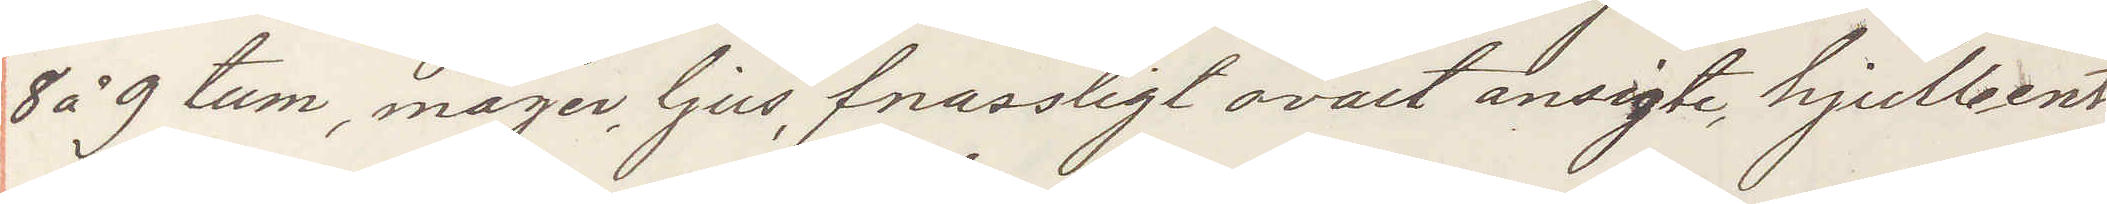8 å 9 tum, mager, ljus, fnassligt ovalt ansigte, hjulbent
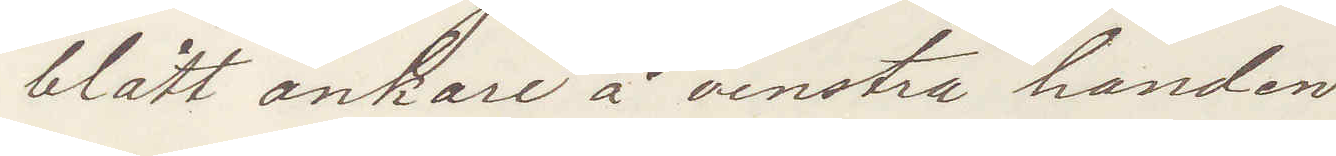blått ankare å venstra handen.
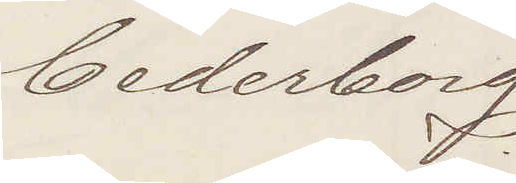Cederberg
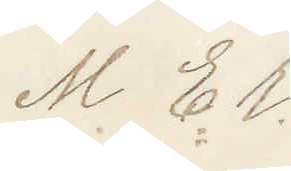M  Er.
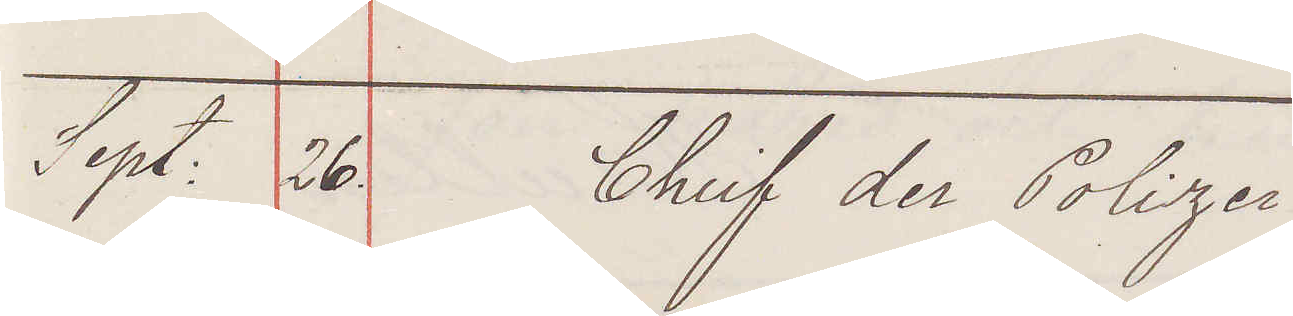Sept: 26 Chief der Polizei:
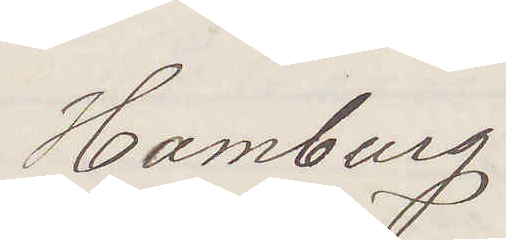Hamburg:
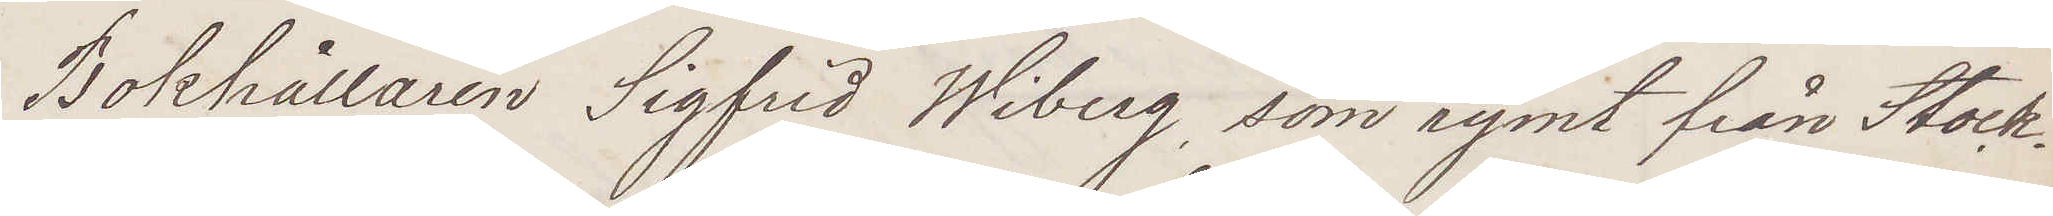Bokhållaren Sigfrid Wiberg, som rymt från Stock¬
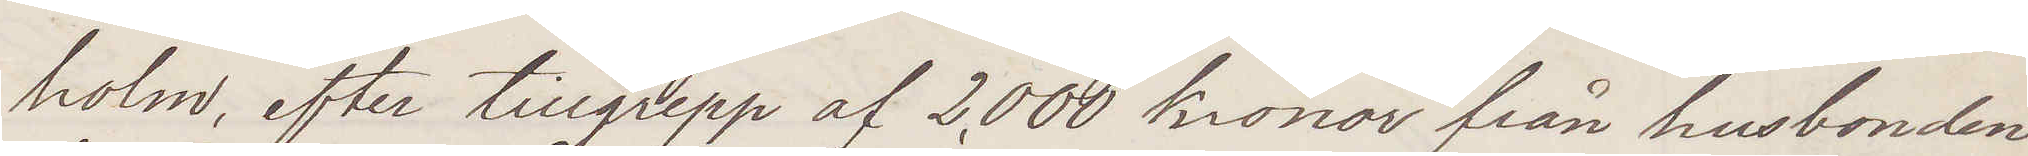holm, efter tillgrepp af 2,000 kronor från husbonden
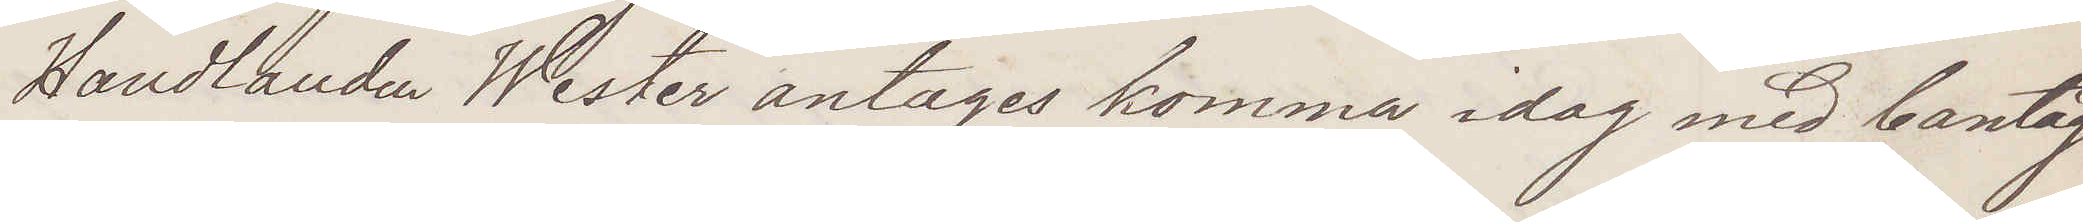Handlanden Wester antages komma idag med bantåg
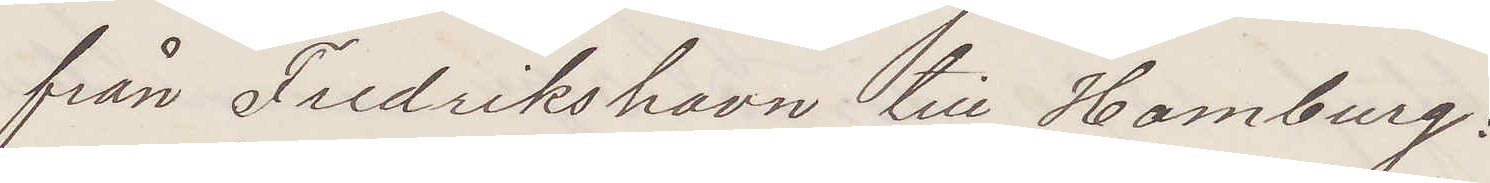från Fredrikshavn till Hamburg:
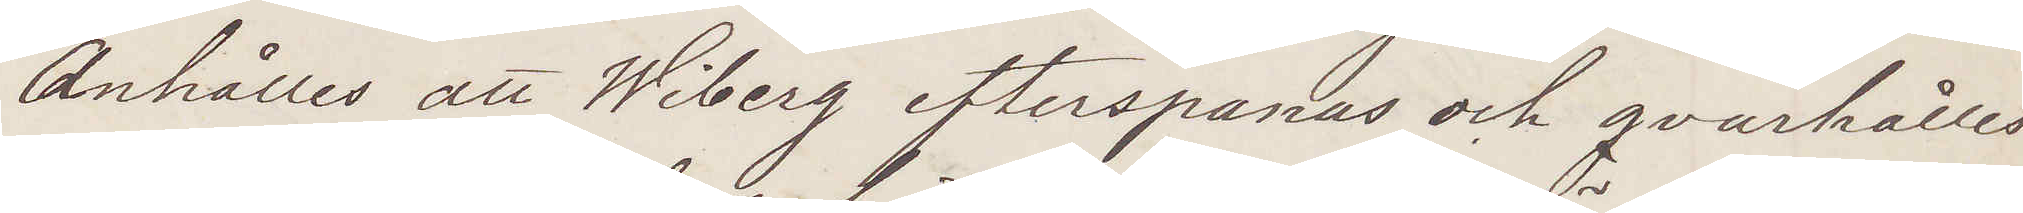Anhålles att Wiberg efterspanas och qvarhålles
